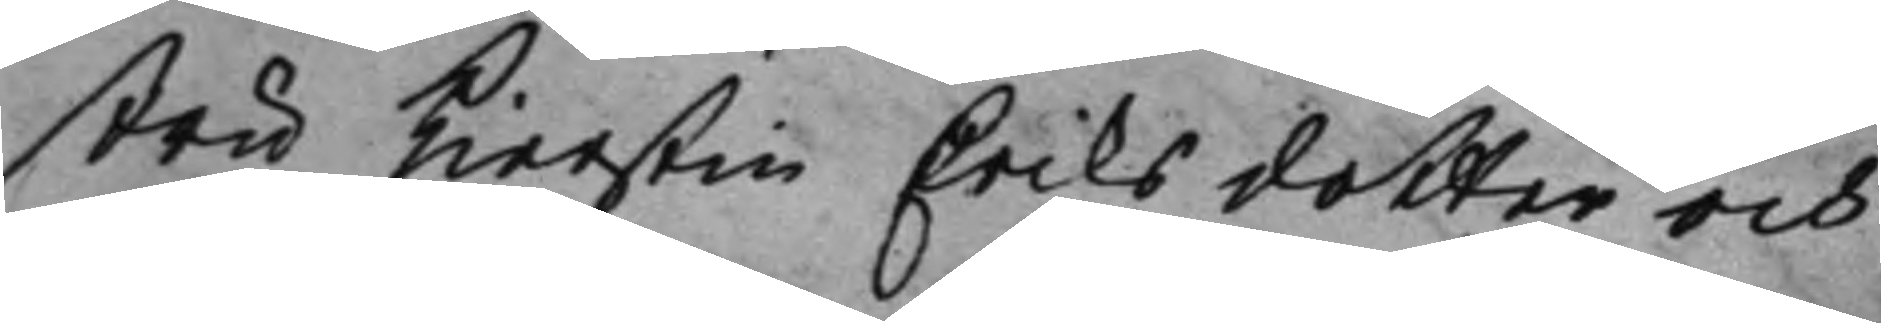stru Kierstin Eriksdotter och
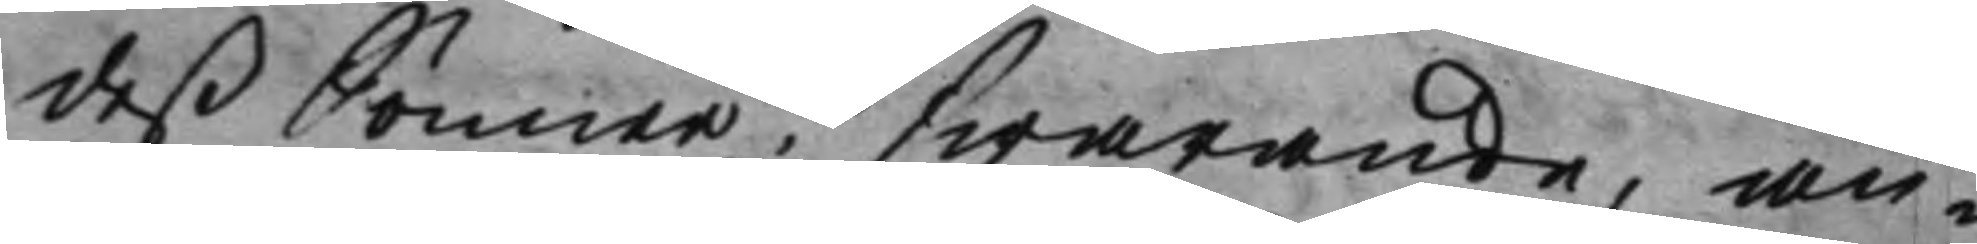deß Sönner, swarande, an¬
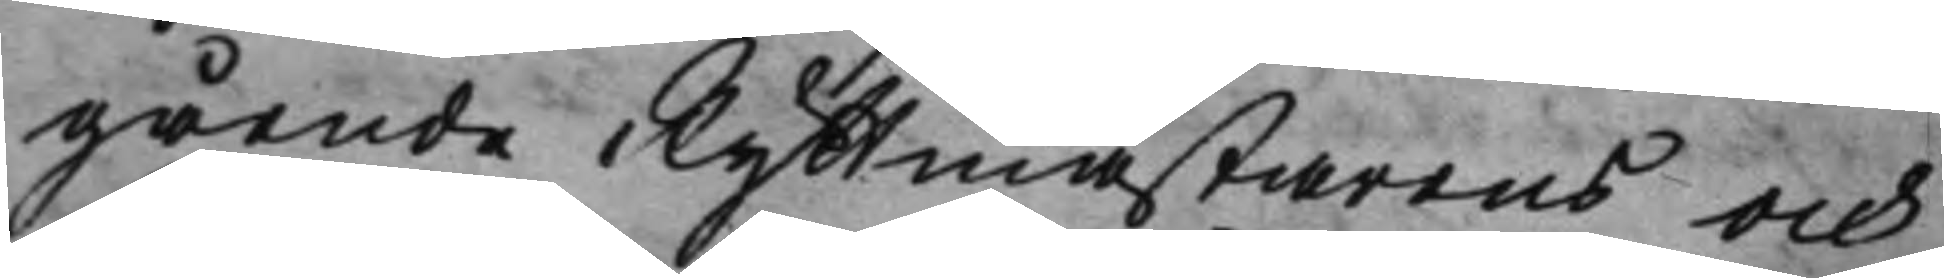gående Ryttmästarens och
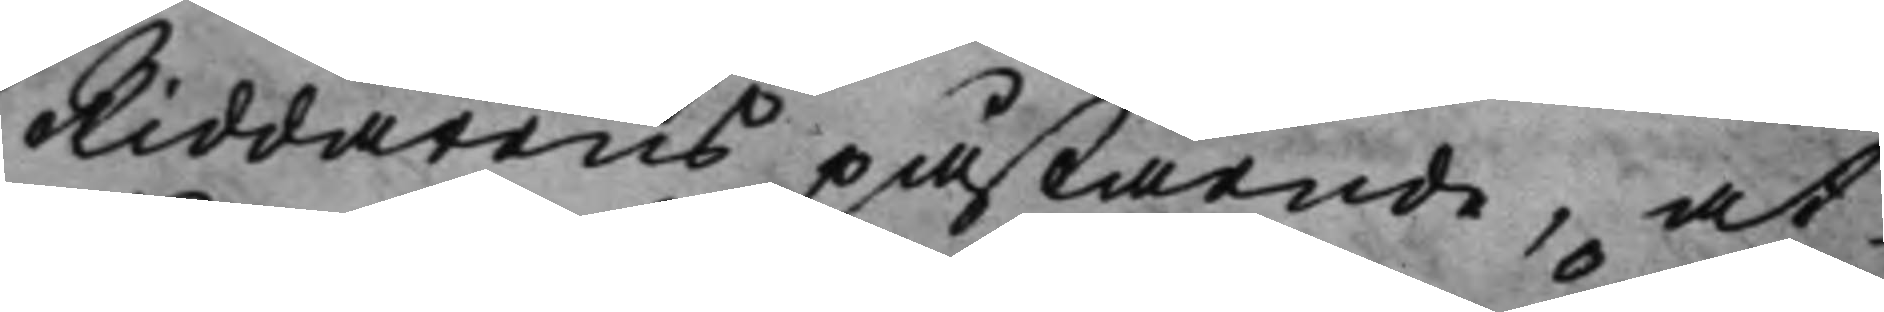Riddarens påstående, at
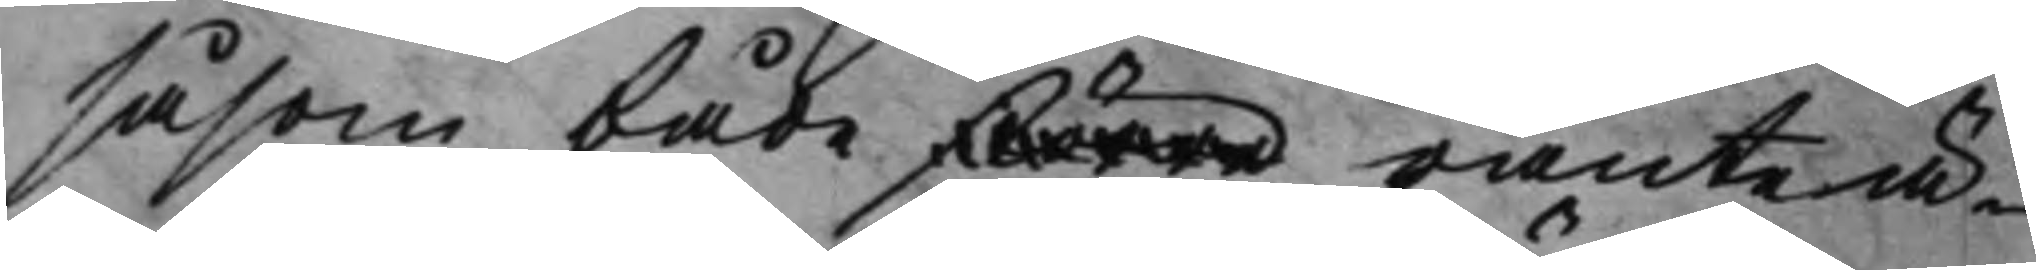såsom både större ränteä¬
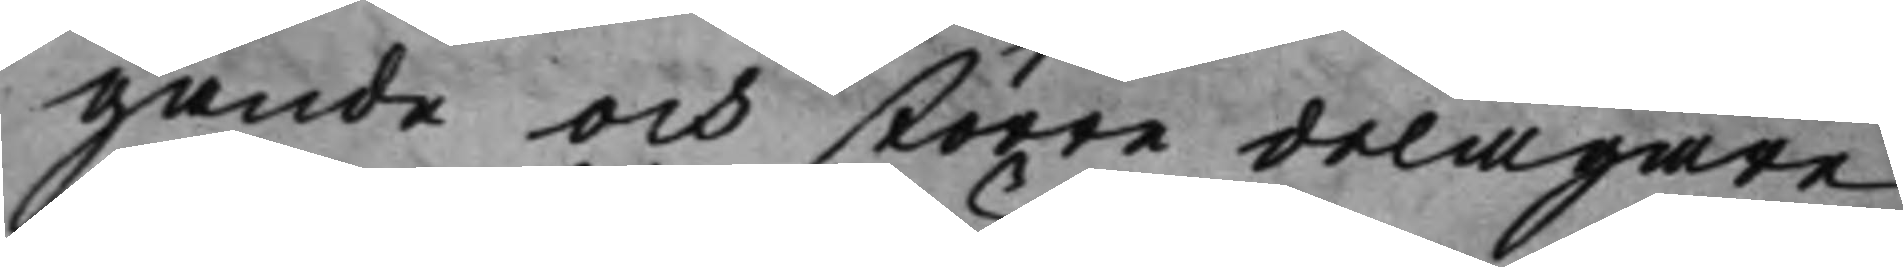gande och större delägare
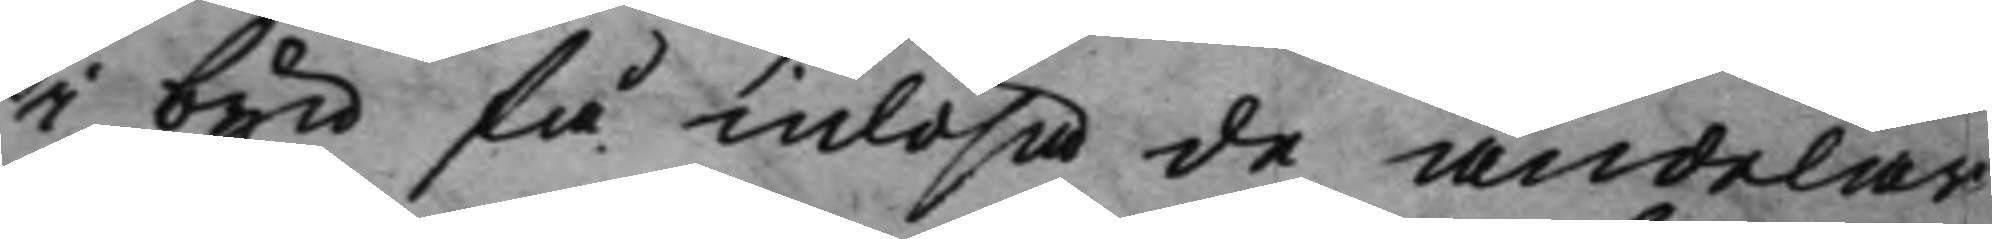i byn få inlösa de andelar
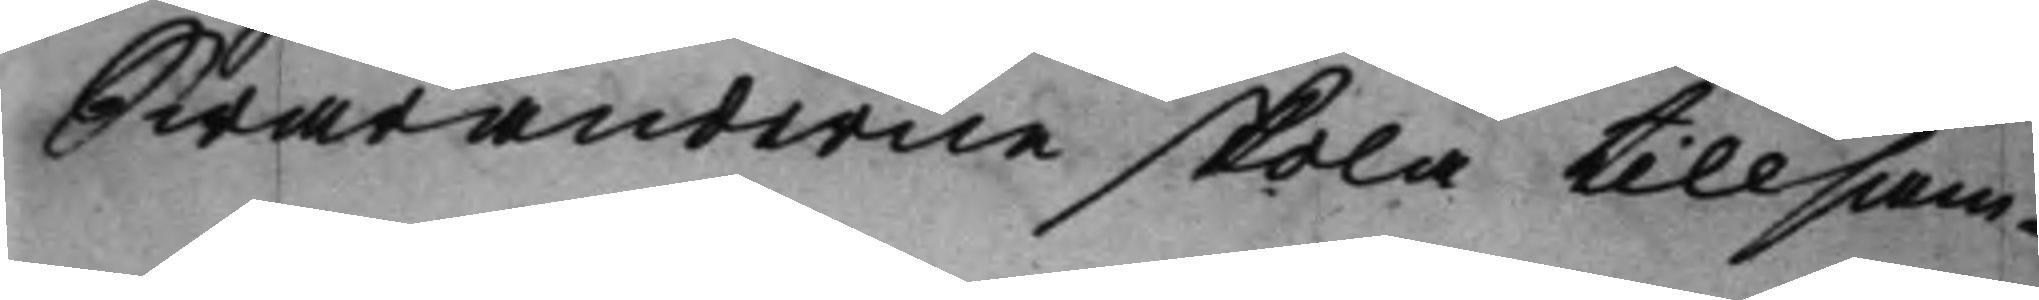Swaranderne skola tillsam¬
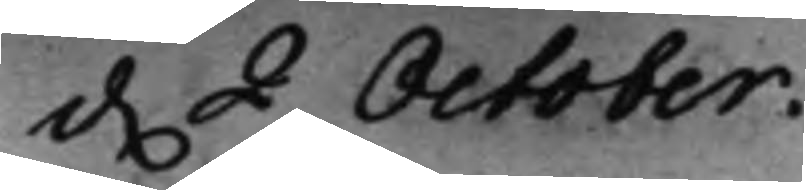d. 2 October. 
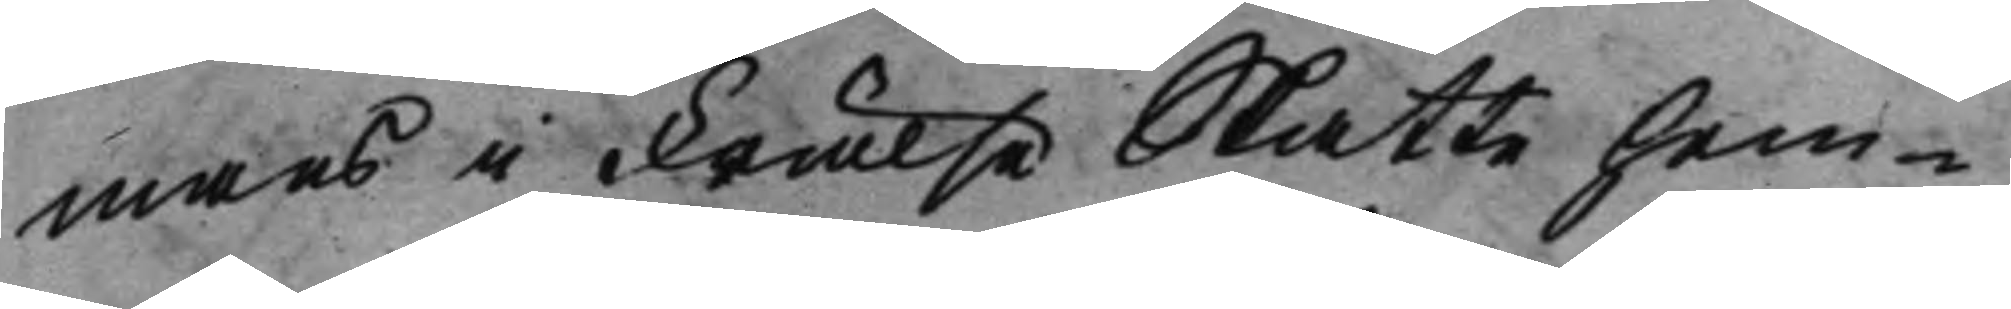mans i Frälse Skatte hem¬
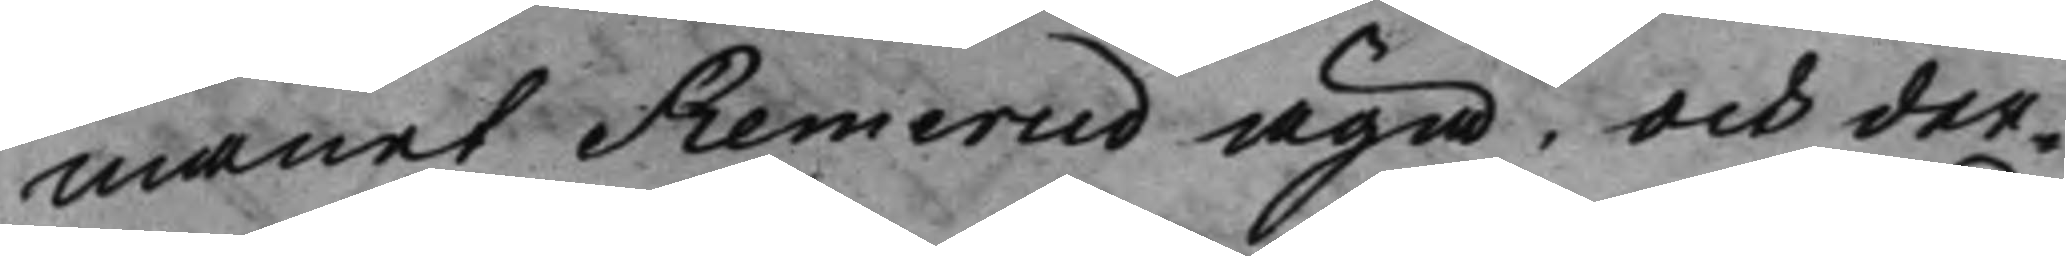manet Remerud äga; och der¬
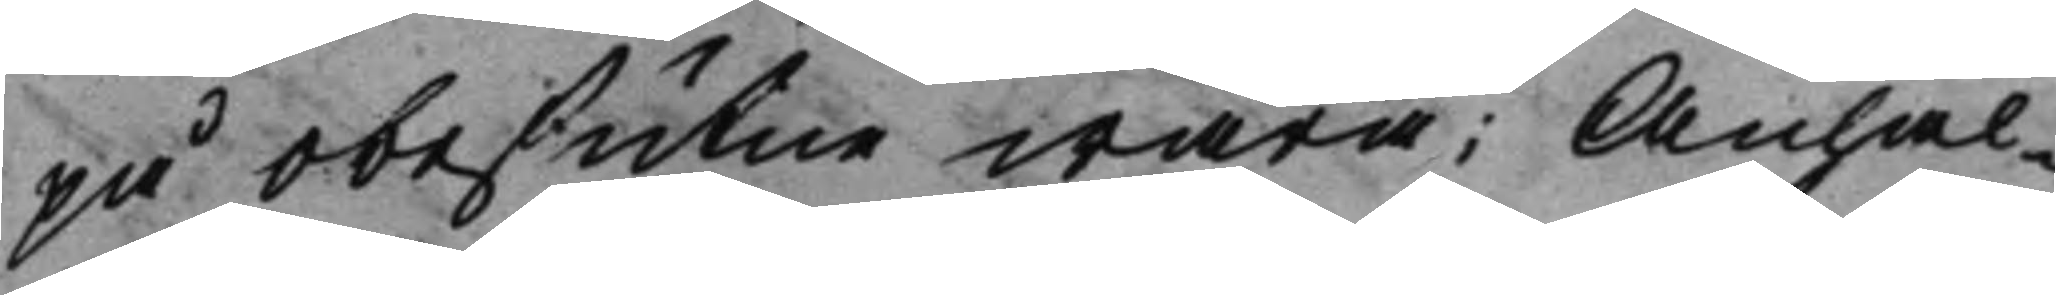på obesutne wara: Anhål¬
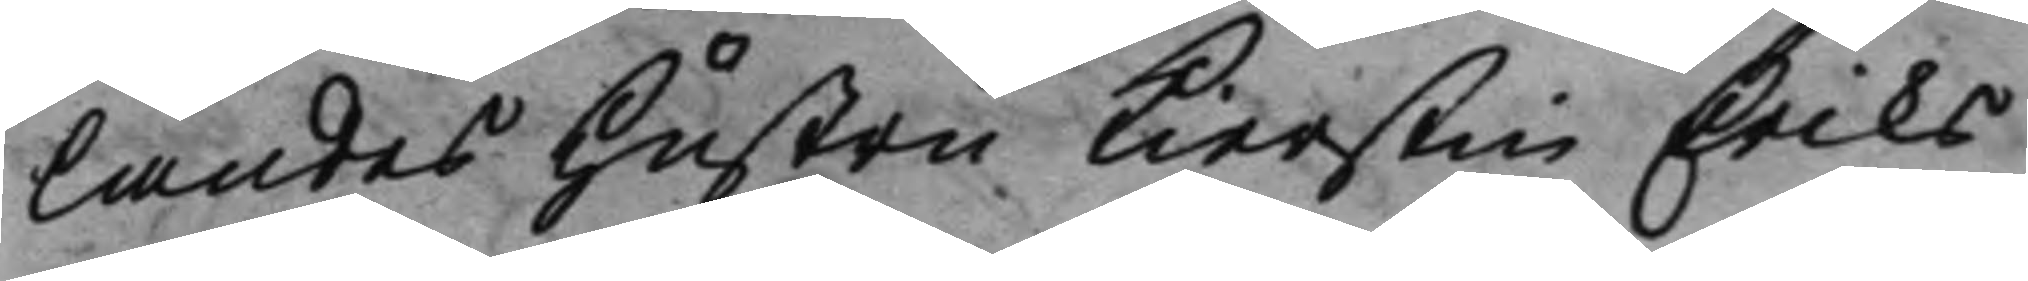landes Hustru Kierstin Eriks
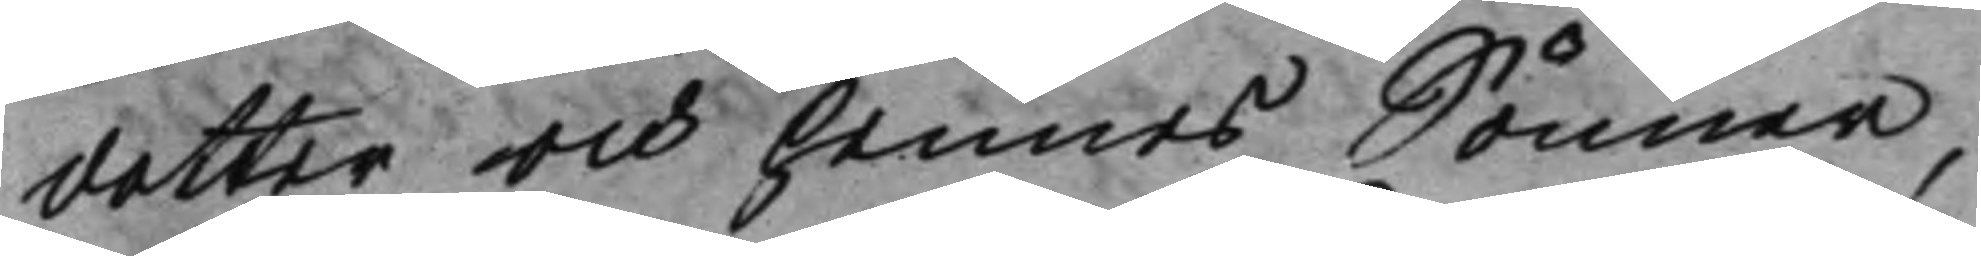dotter och hennes Sönner,
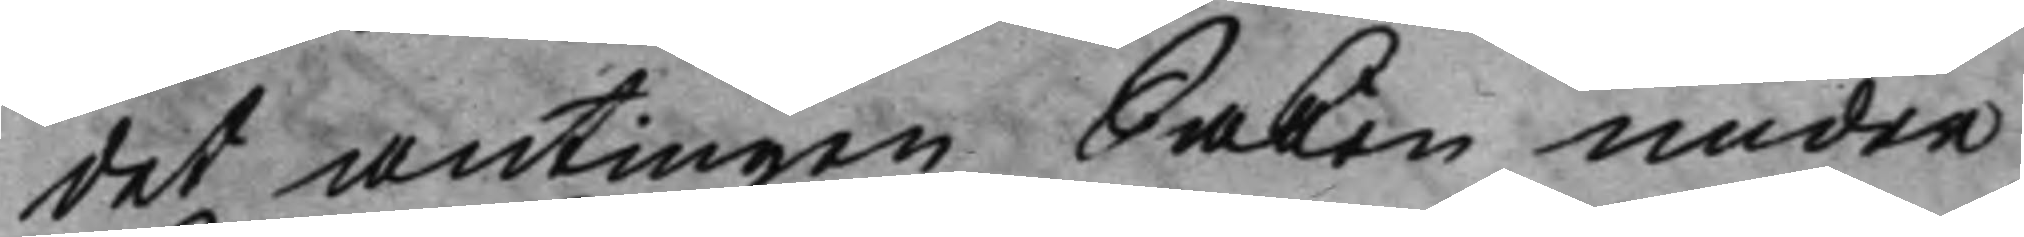det antingen Saken under
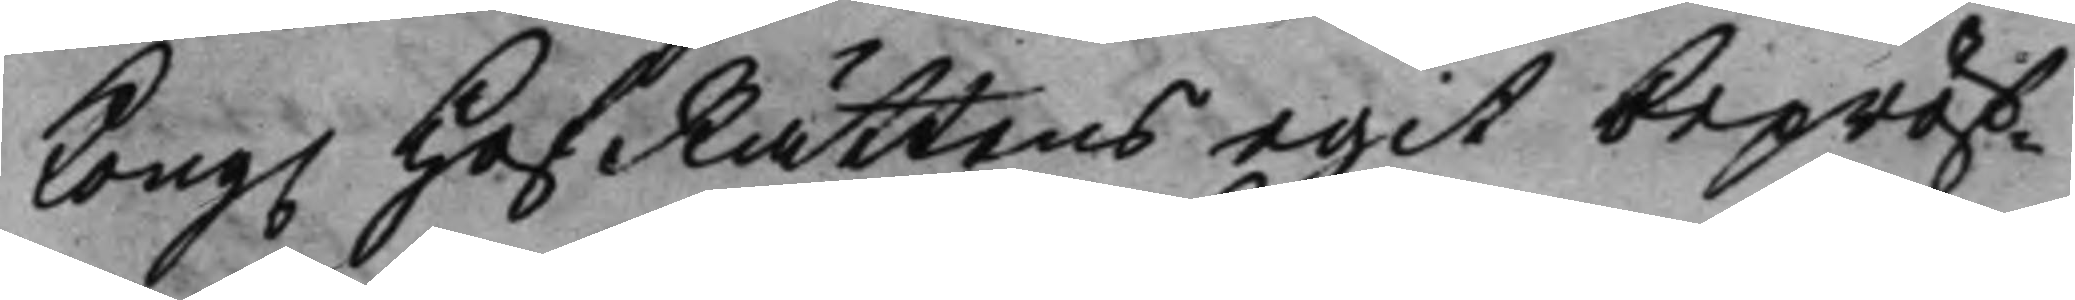Kong. HofRättens egit bepröf¬ 
